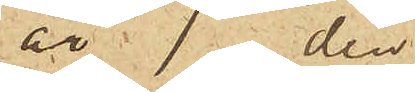är den
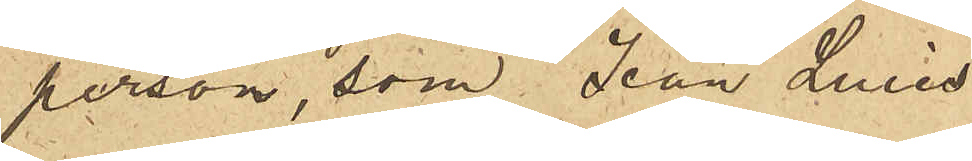person, som Jean Luies
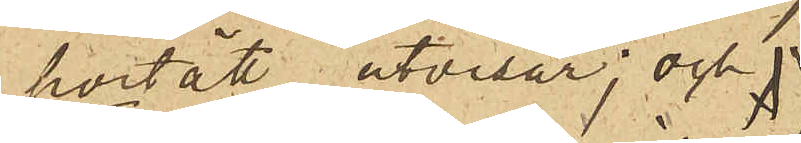porträtt utvisar; och
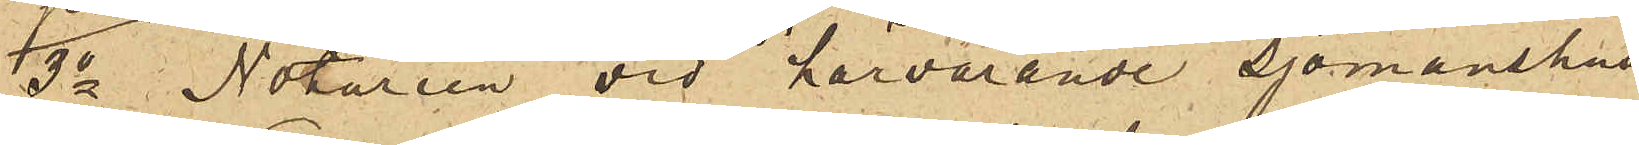3o Notarien vid härvarande sjömanshus
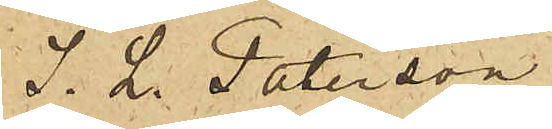J. L. Paterson
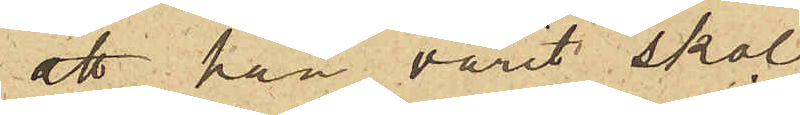att han varit skol¬
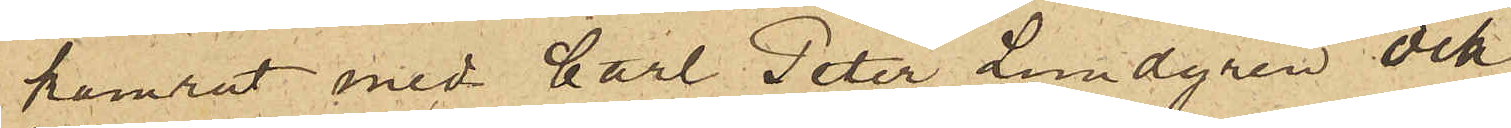kamrat med Carl Peter Lundgren och
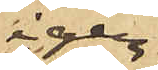igen¬
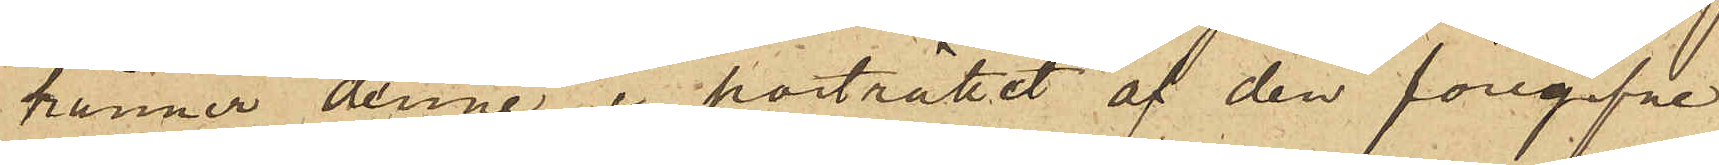känner denne i porträttet af den föregifne
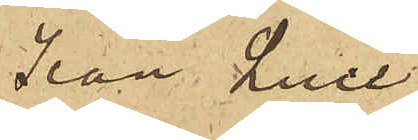Jean Luie.
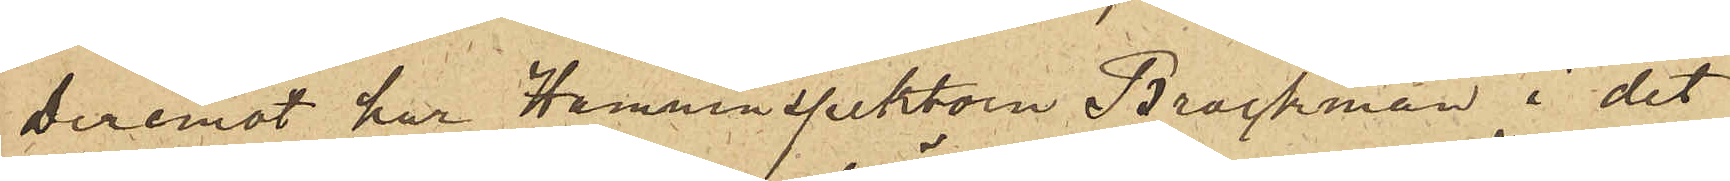Deremot har Hamninspektorn Brockman i det
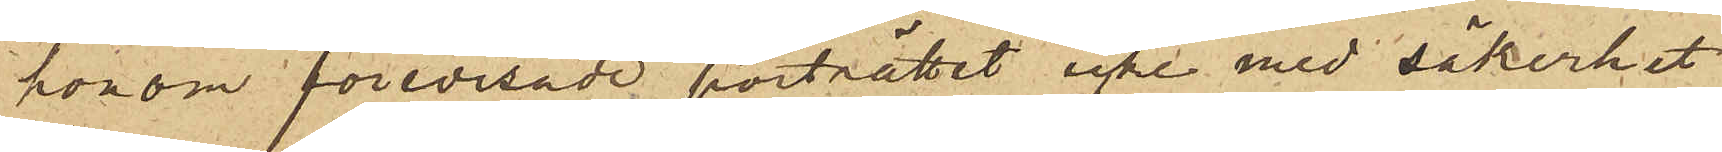honom förevisade porträttet icke med säkerhet
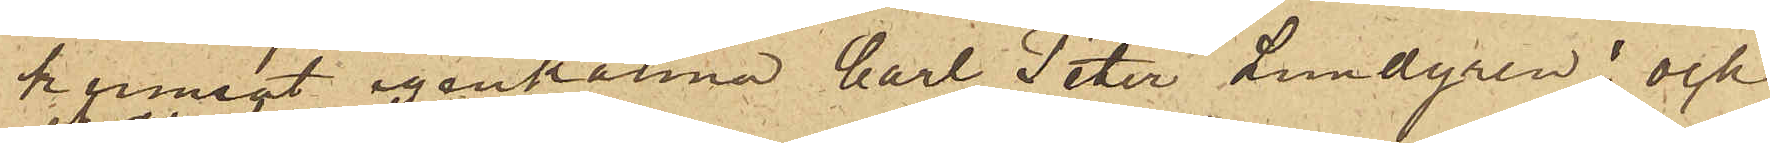kunnat igenkänna Carl Peter Lundgren; och
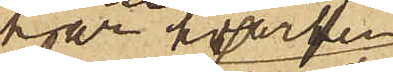har hvarken
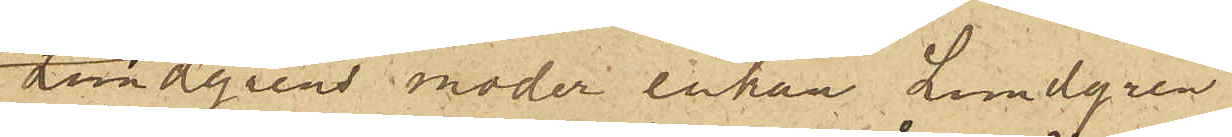Lundgrens moder enkan Lundgren
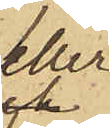eller
